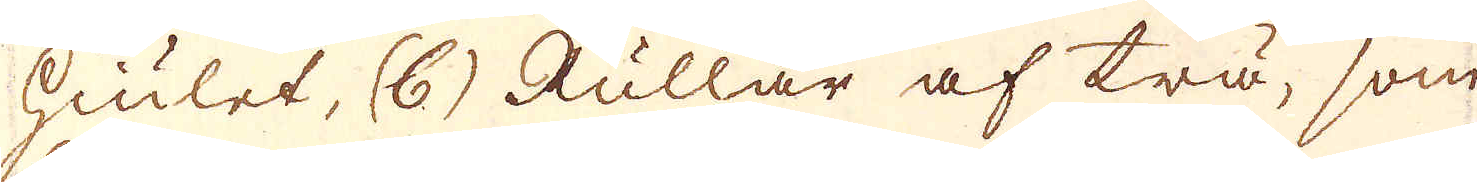hiulet, (b) Rullar af trä, som
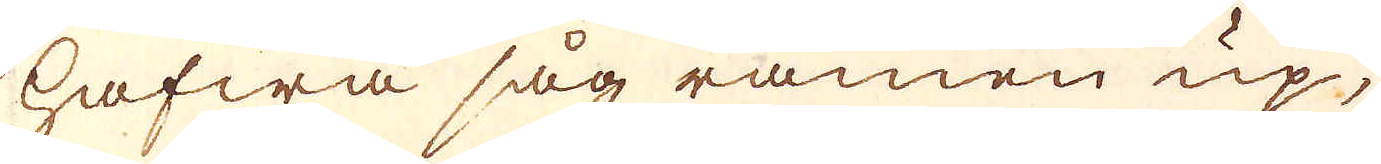hafwa såg ramen up,
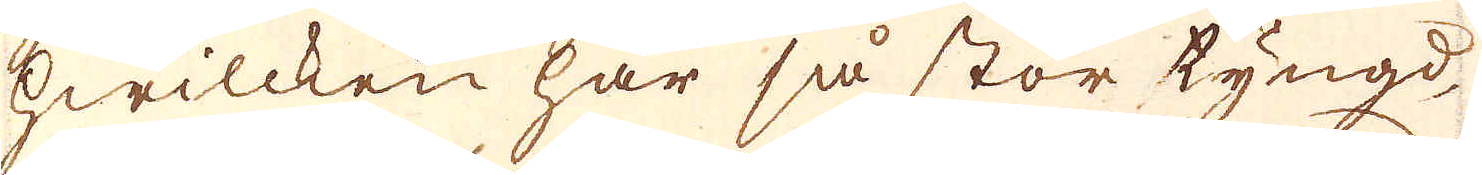hwilcken har så stor tyngd,
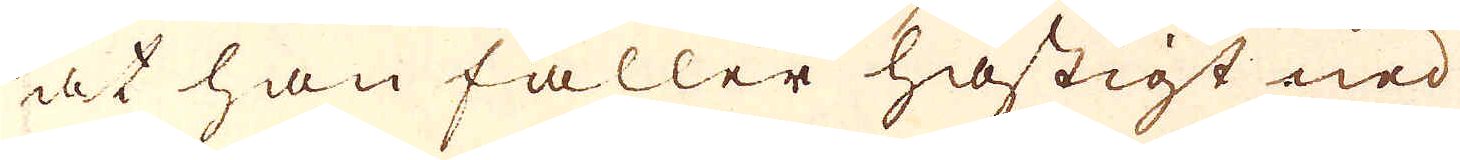at han faller hastigt ned
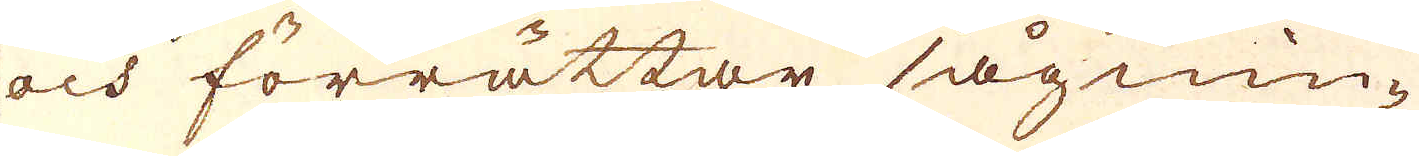och förrättar sågnin-
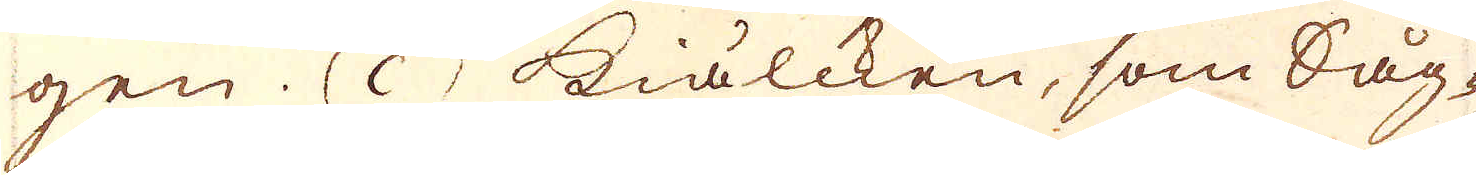gen. (c) Kiälcken, som Såg-
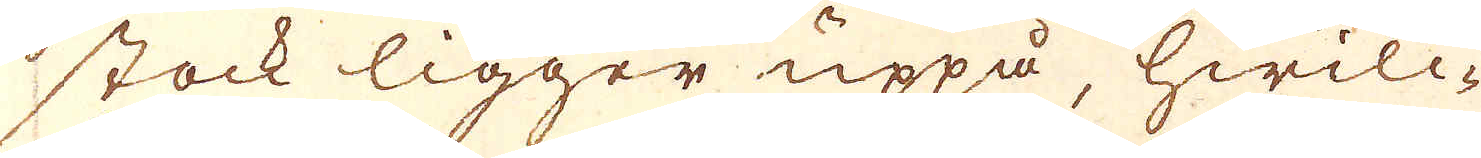stock ligger uppå, hwilc-
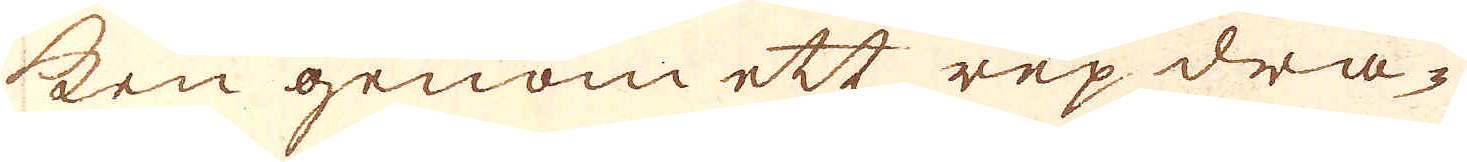ken genom ett rep dra-
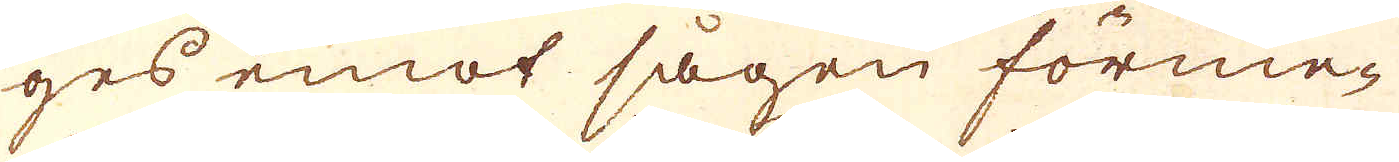ges emot sågen förme-
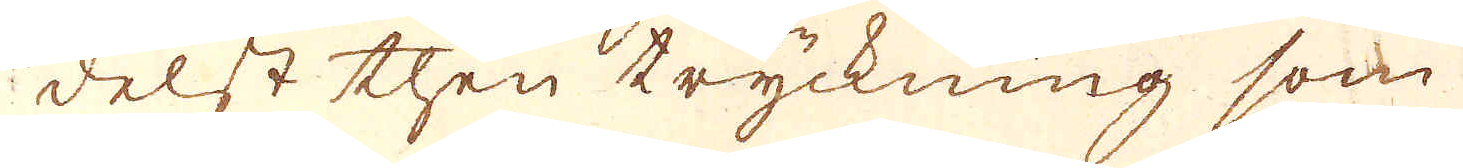delst then tryckning som
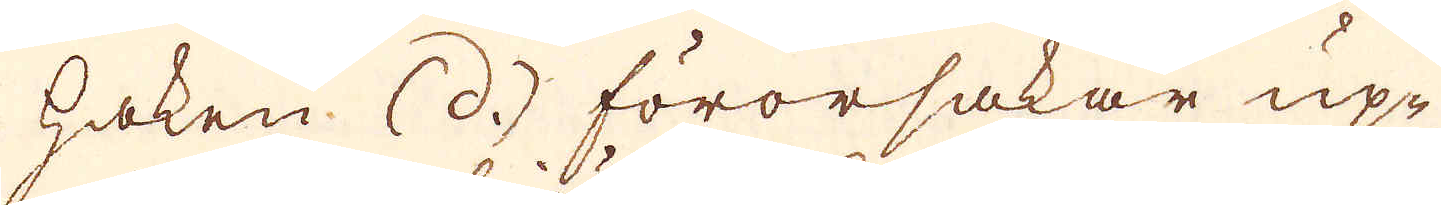haken (d.) förorsakar up-
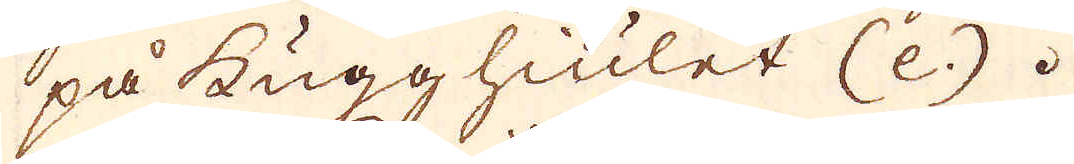på kugghiulet (e.).
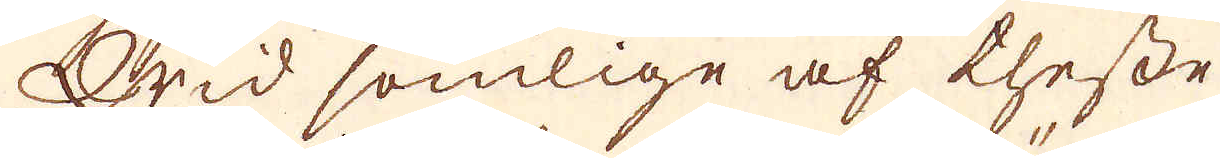Wid somlige af thesse
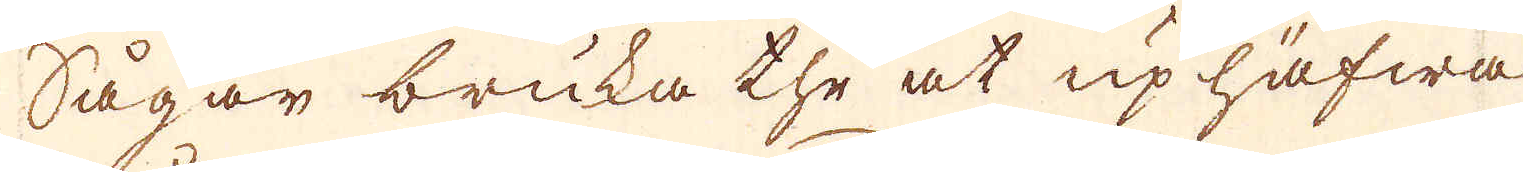Sågar bruka the at uphäfwa
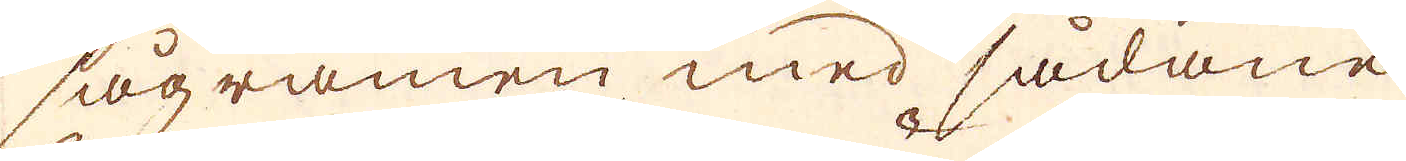sågramen med sådane
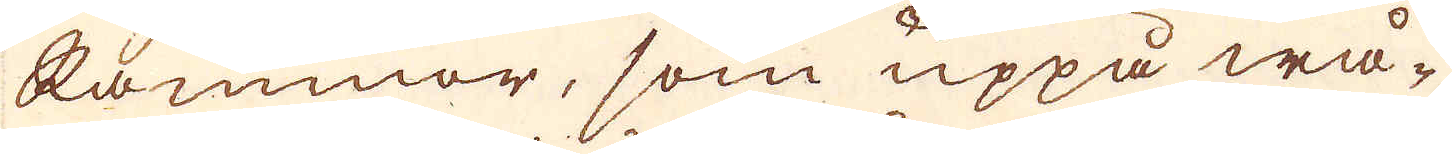Rammor, som uppå wå-
